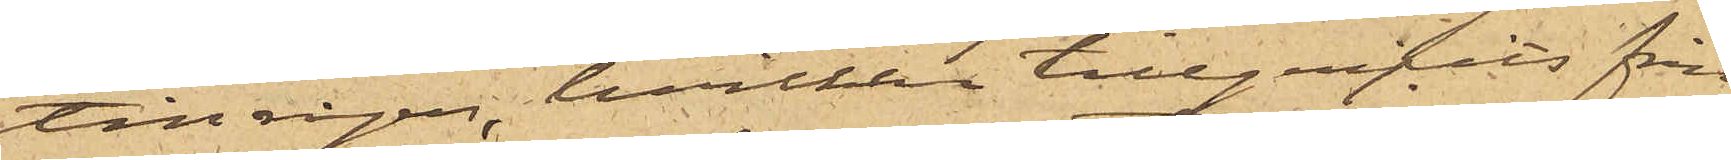till rågen, hvilken tillgripits från
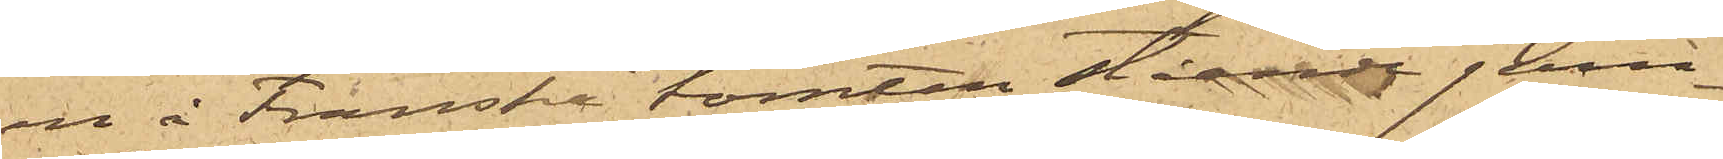en å Franska tomten stående jern¬
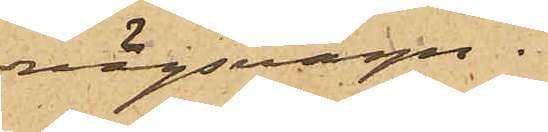vägsvagn.
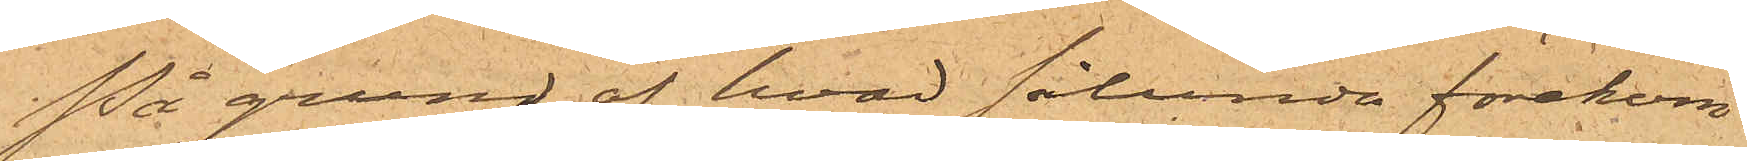På grund af hvad sålunda förekom¬
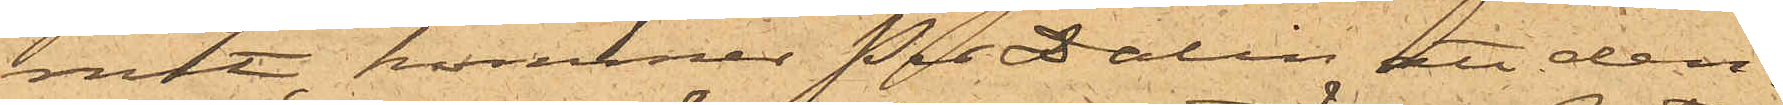mit kommer Per Dalin att den¬
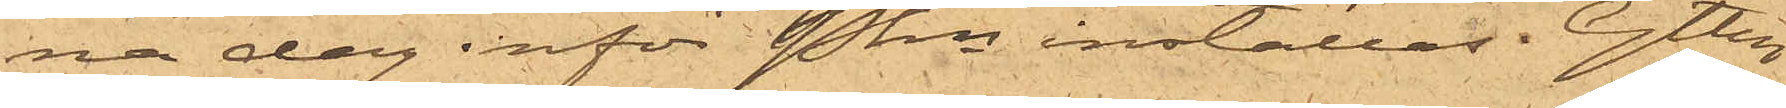na dag inför Pkn inställas. Gtbg
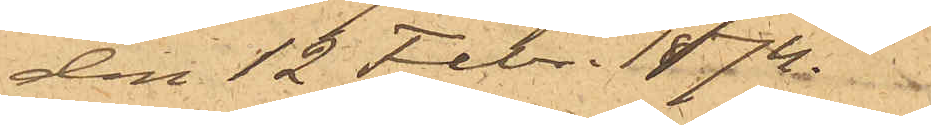den 12 Febr. 1874.
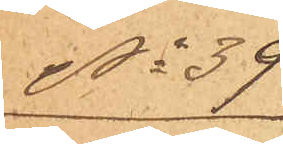No 39.
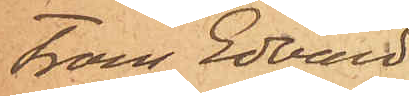Frans Edvard
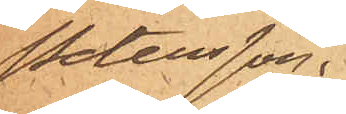Petersson.
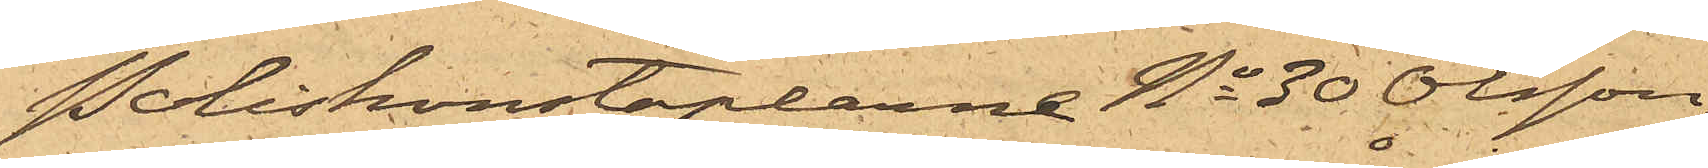Poliskonstaplarne No 30 Olsson
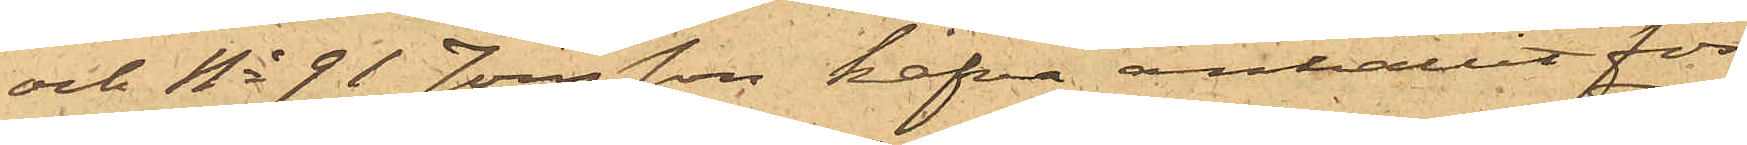och No 91 Jönsson hafva anhållit för
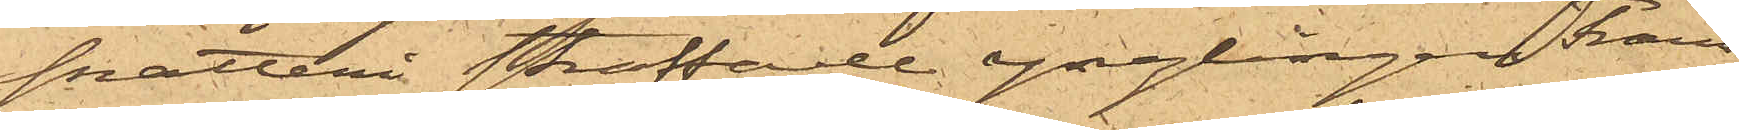snatteri straffade ynglingen Frans
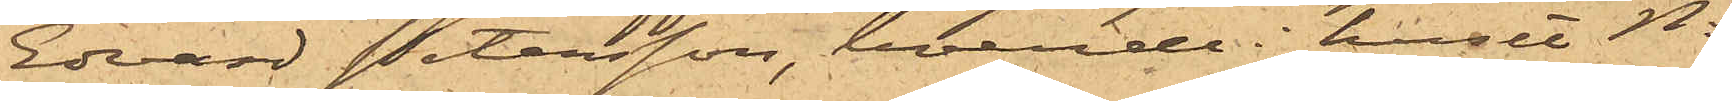Edvard Petersson, boende i huset No
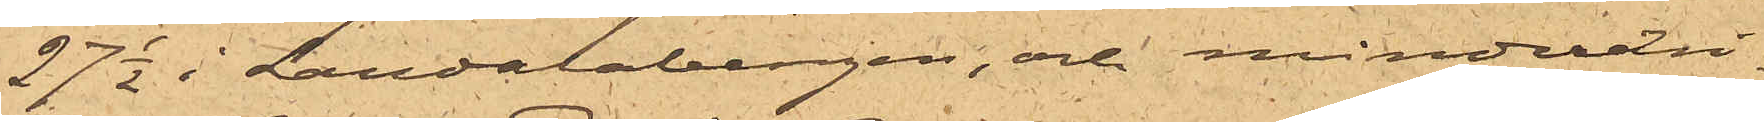27½  i Landalabergen, och minderåri¬
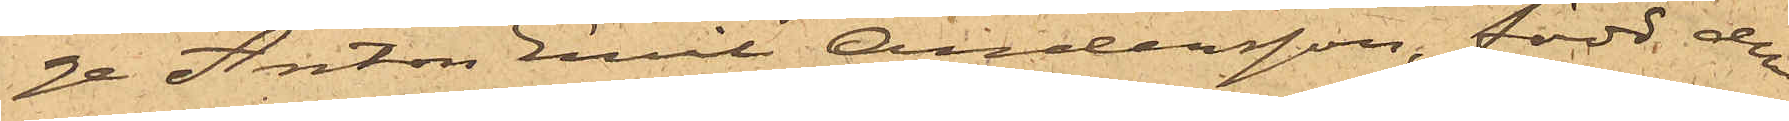ge Anton Emil Andersson, född den
